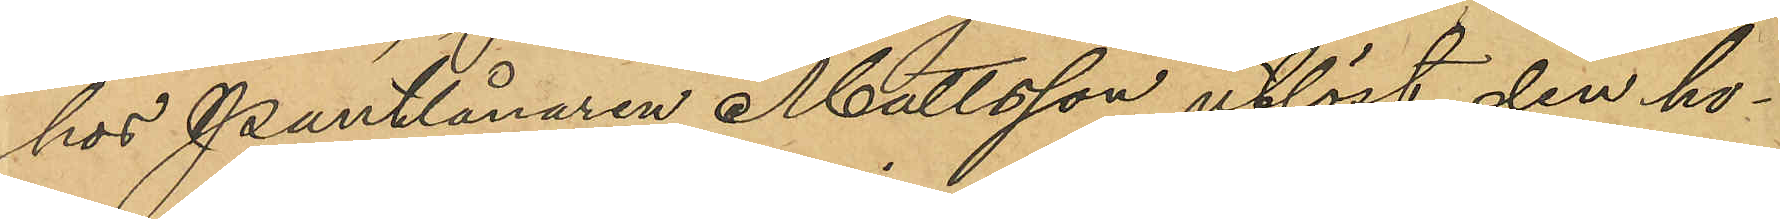hos Pantlånaren Mattsson utlöst den ho¬
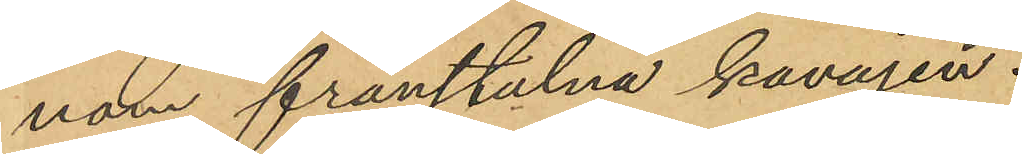nom frånstulna kavajen.
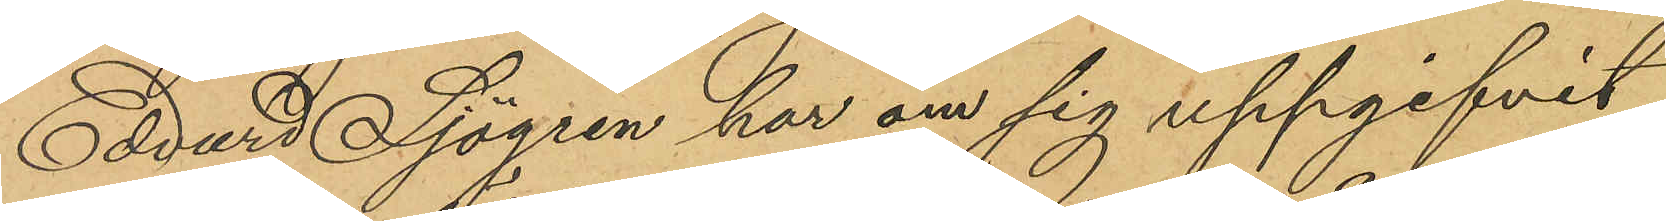Edvard Sjögren har om sig uppgifvit
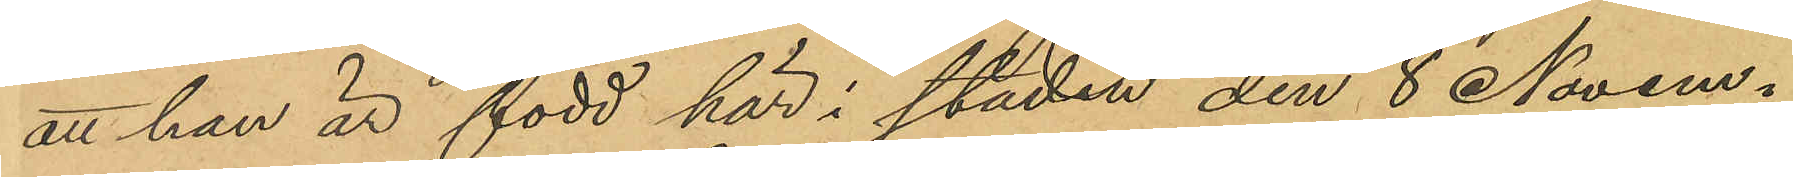att han är född här i staden den 8 Novem¬
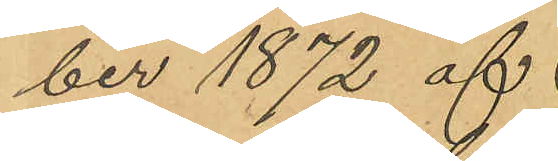ber 1872 af
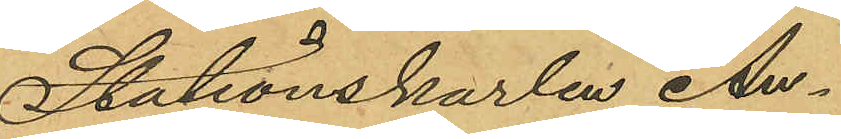Stationskarlen An¬
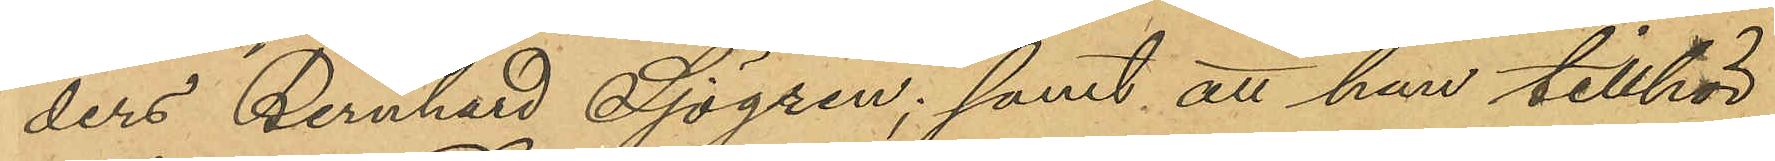ders Bernhard Sjögren; samt att han tillhör
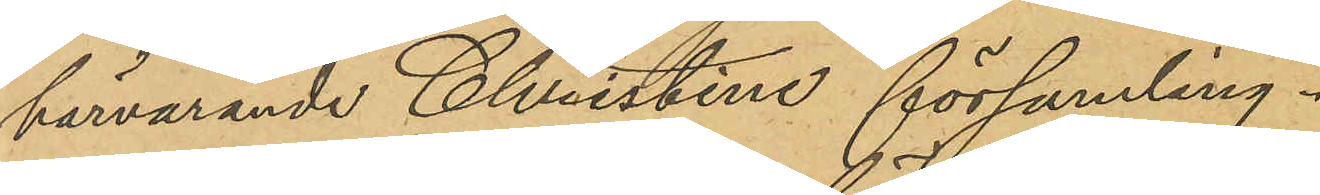härvarande Christine församling.
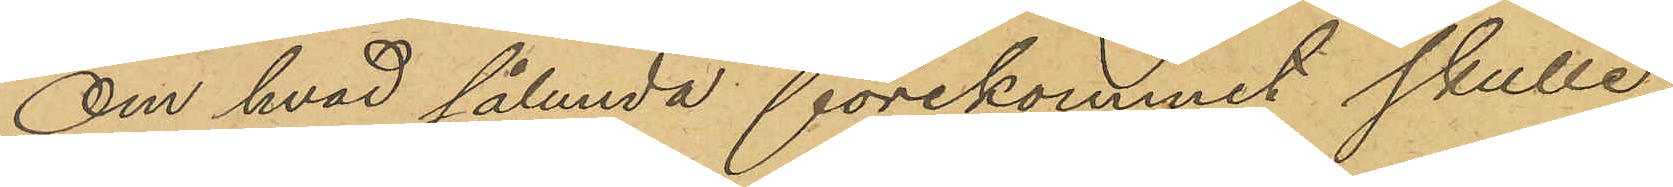Om hvad sålunda förekommit skulle
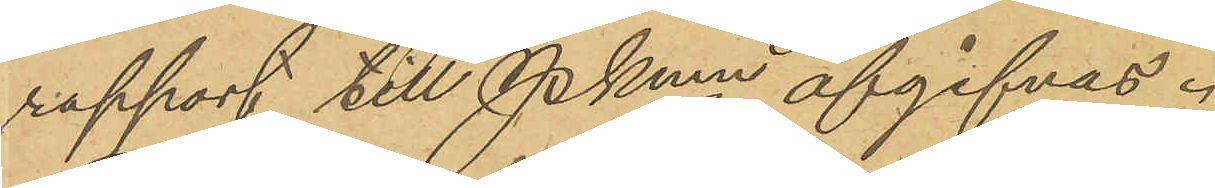rapport till Pkmn afgifvas.
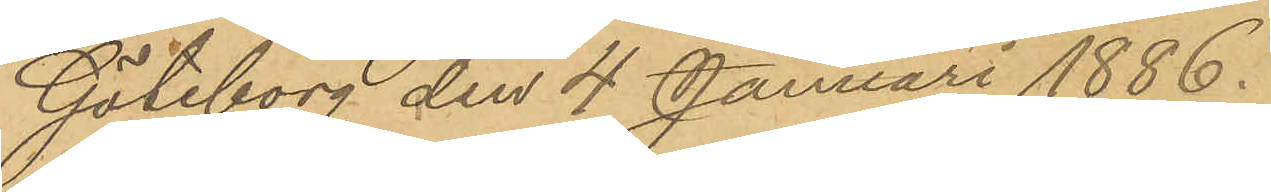Göteborg den 4 Januari 1886.
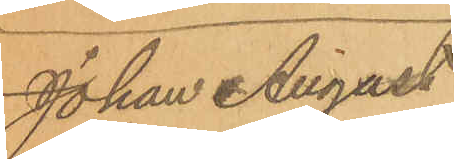Johan August
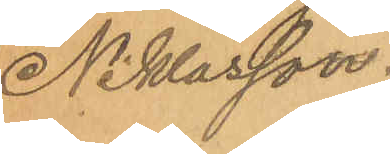Niklasson.
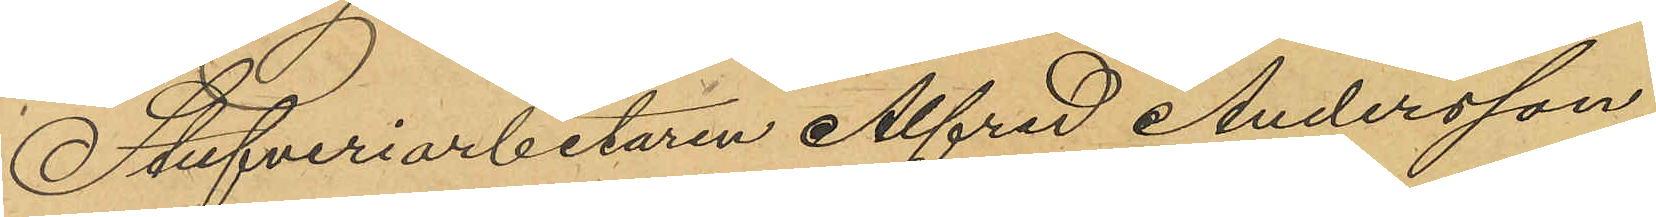Stufveriarbetaren Alfred Andersson,
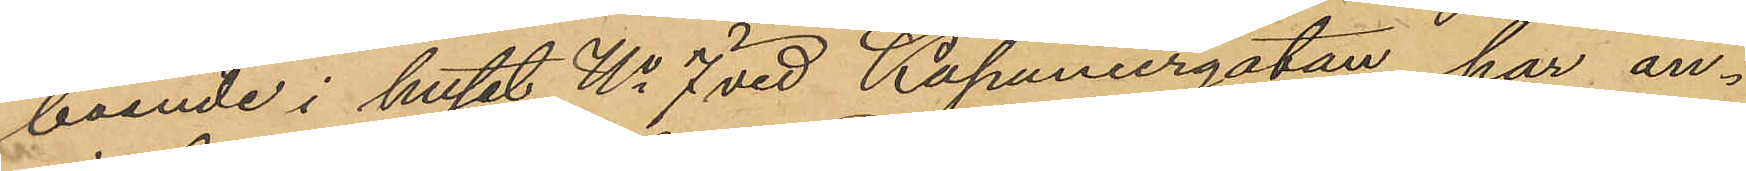boende i huset No 7 vid Kaponiergatan, har an¬
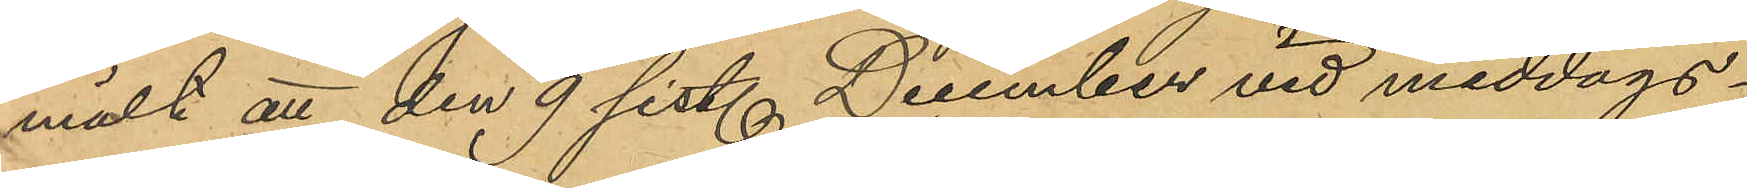mält att den 9 sist. December vid middags¬
